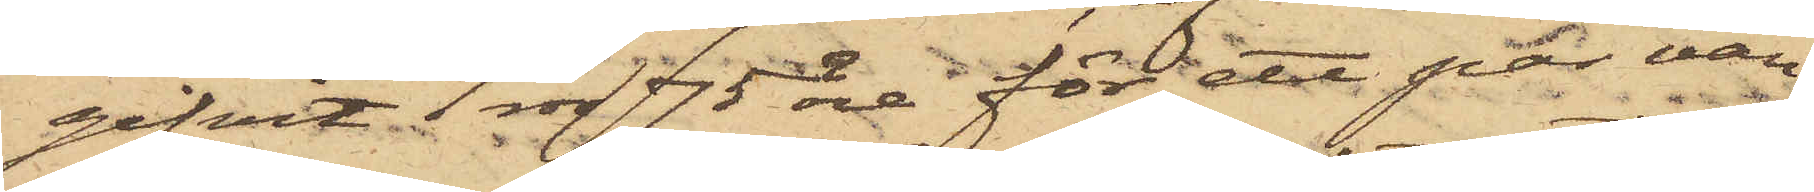gifvit 1 rdr 75 öre för ett par van¬
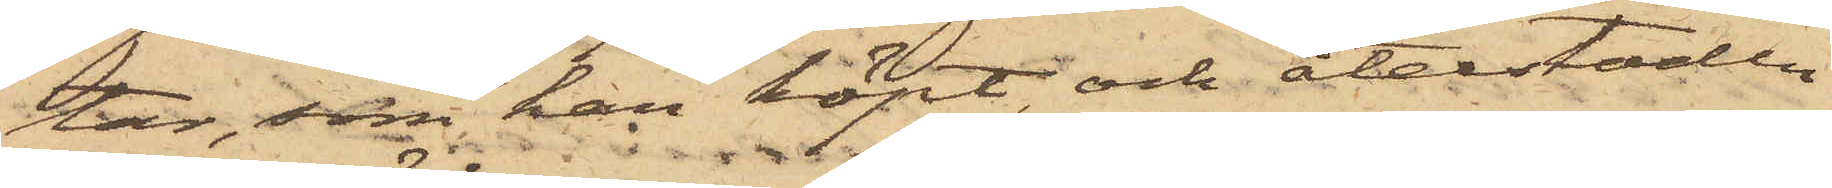tar, som han köpt, och återstoden
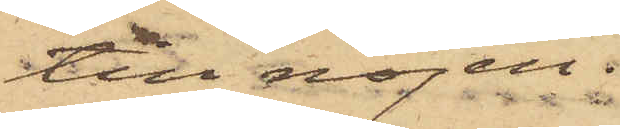till nöjen.
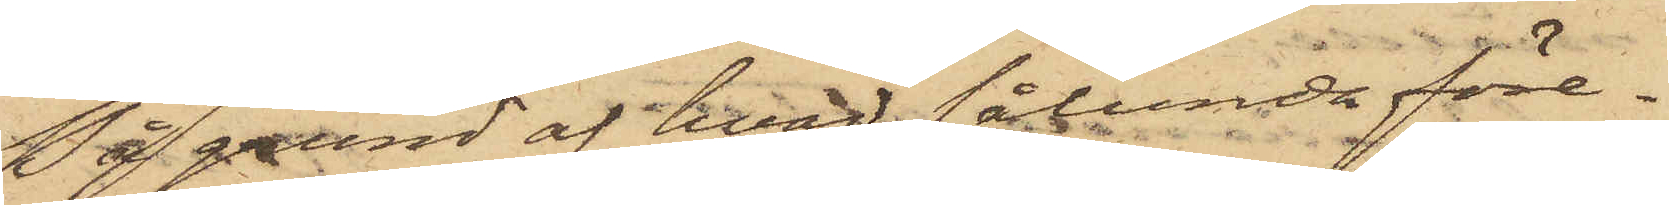På grund af hvad sålunda före¬
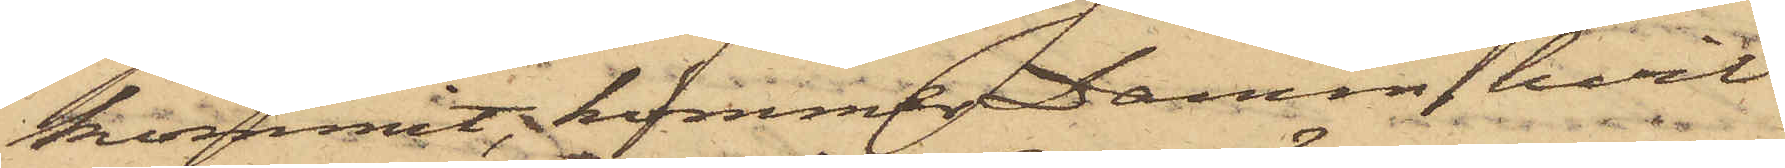kommit, kommer Damm, hvil¬
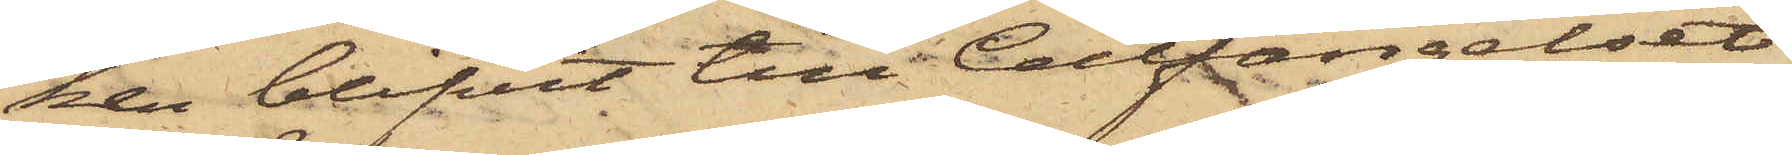ken blifvit till Cellfängelset
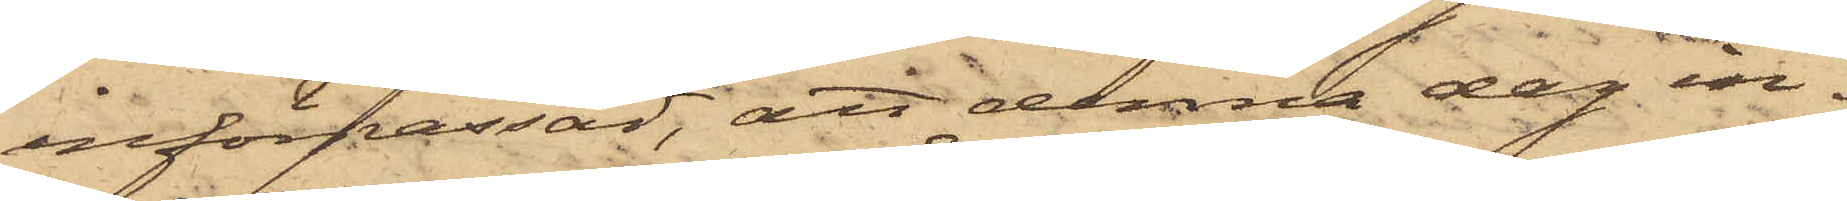införpassad, att denna dag in¬
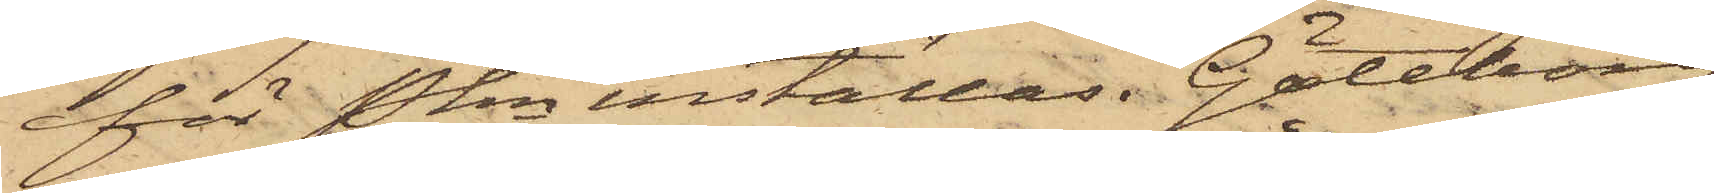för Pkn inställas. Göteborg
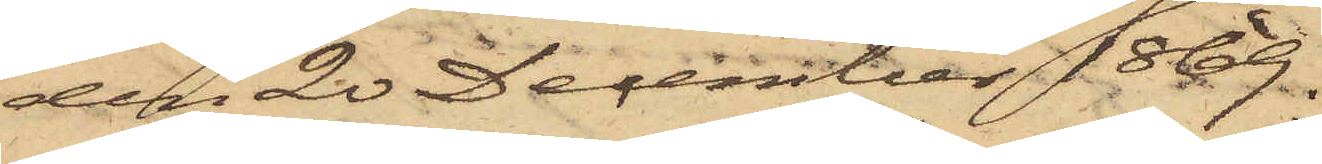den 20 December 1869.
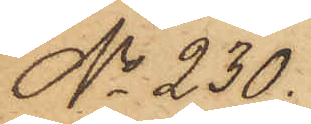No 230.
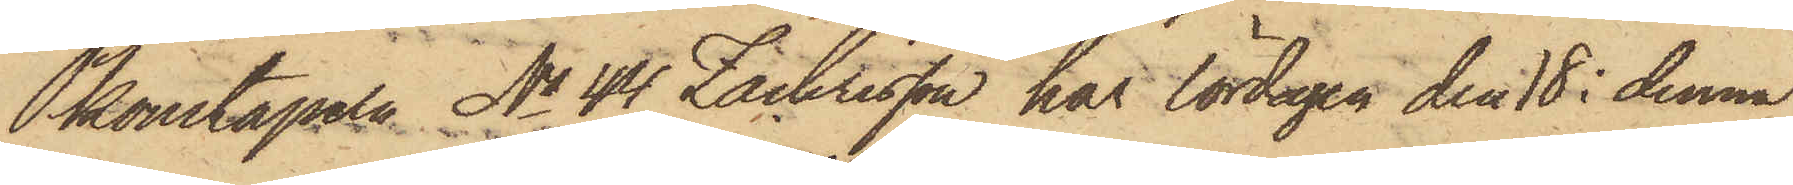Pkonstapeln No 44 Zachrisson har lördagen den 18 i denna
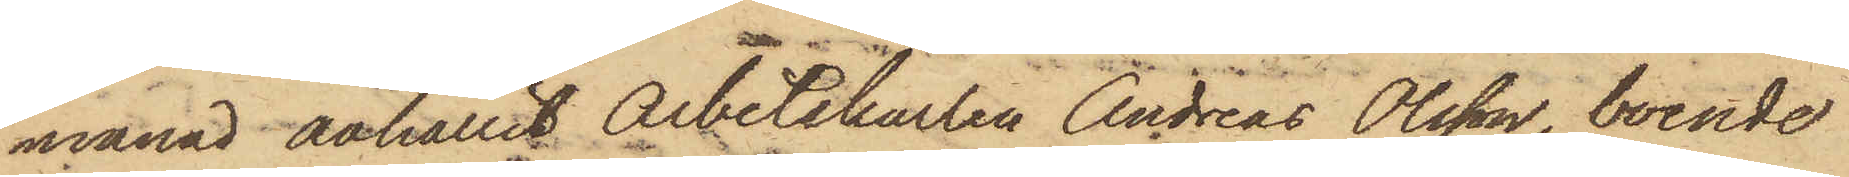månad anhållit Arbetskarlen Andreas Olsson, boende
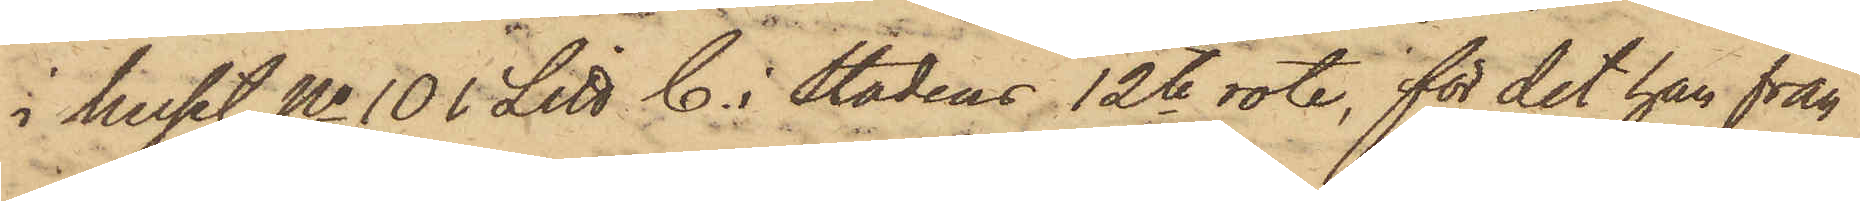i huset No 101 Litt C. i stadens 12te rote, för det han från
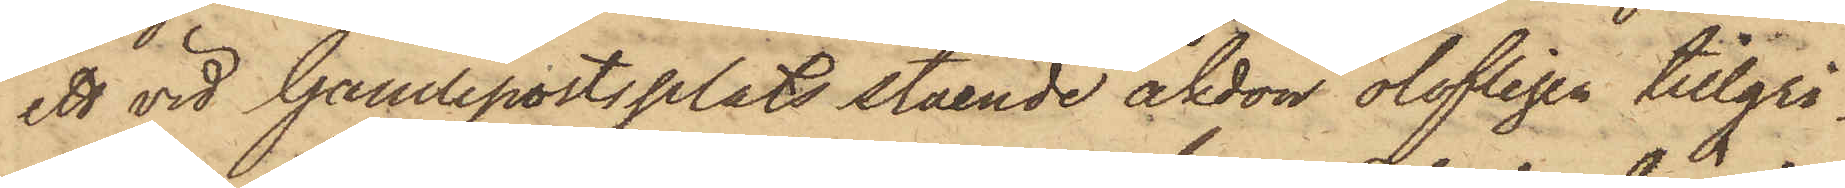ett vid Gamleportsplats stående åkdon olofligen tillgri¬
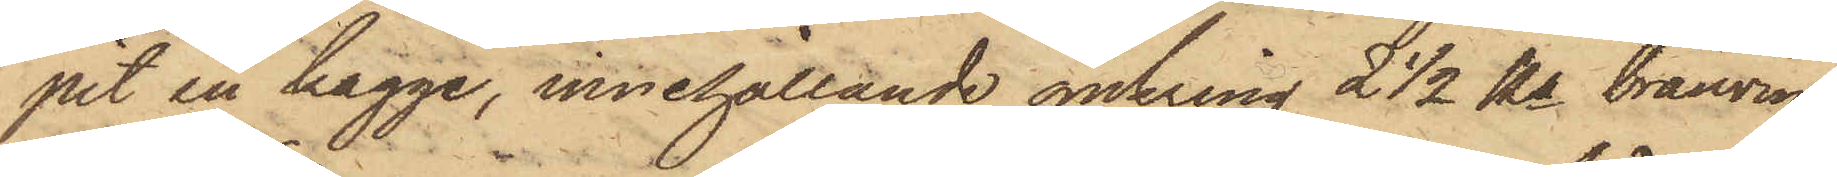pit en kagge, innehållande omkring 2 1/2 Kr brännvin
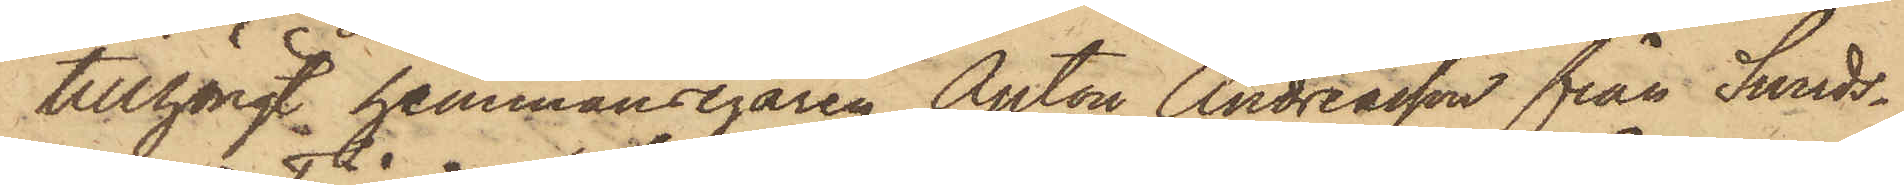tillhörigt hemmansegaren Anton Andreasson från Sunds¬
